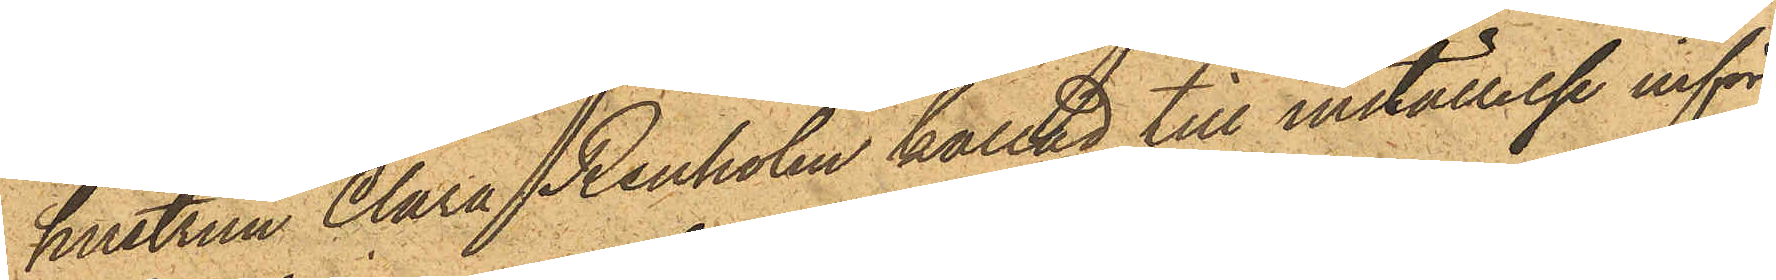hustrun Clara Renholm kallad till inställelse inför
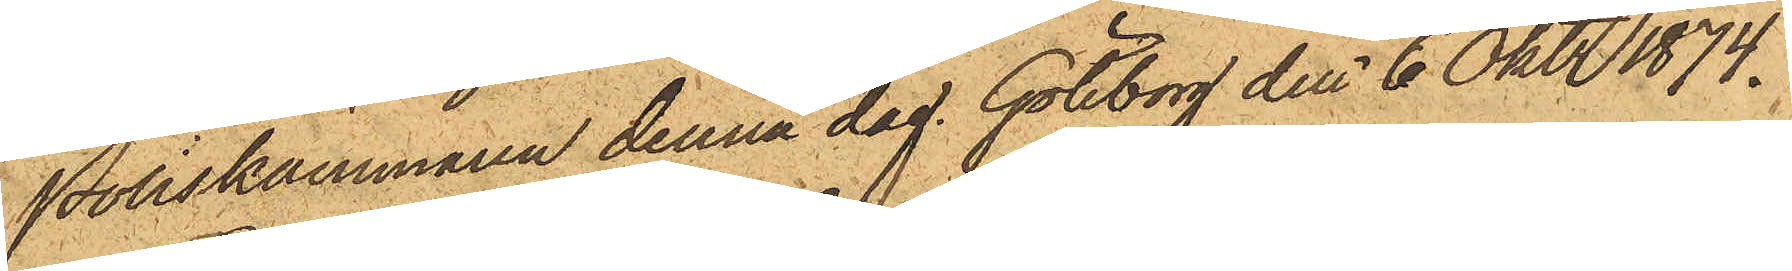Poliskammaren denna dag. Göteborg den 6 Okt 1874.
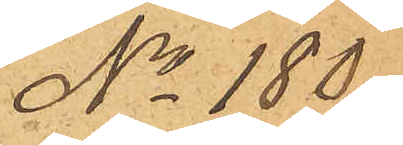No 180.
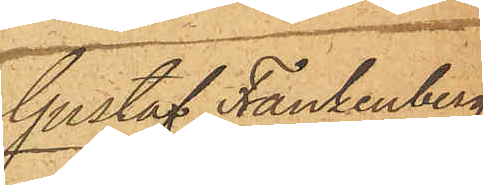Gustaf Frankenberg
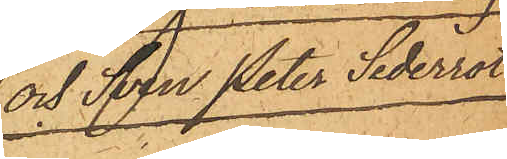och Sven Peter Sederrot.
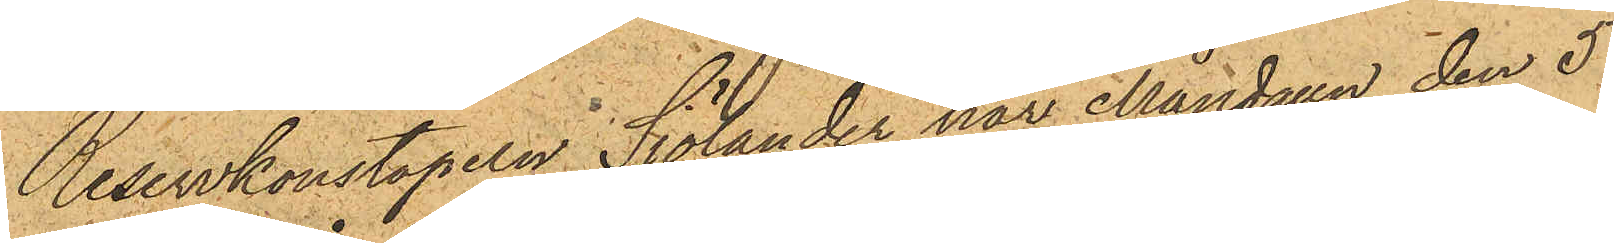Reservkonstapeln Sjölander har Måndagn den 5
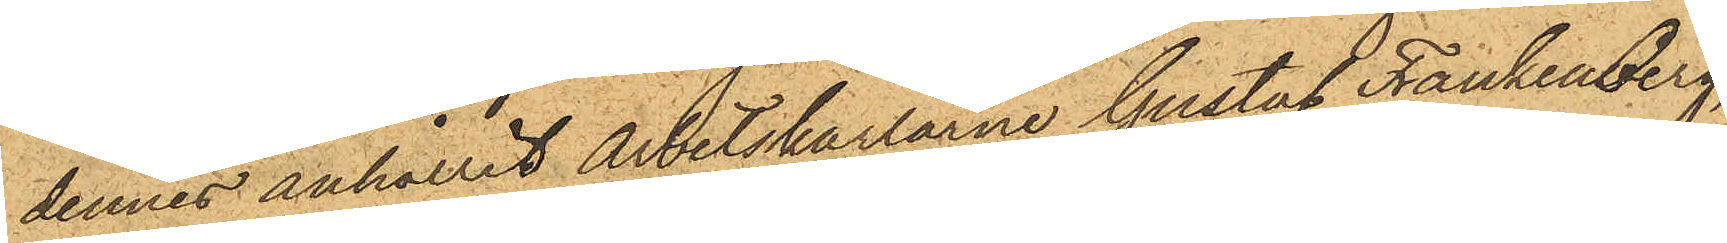dennes anhållit Arbetskarlarne Gustaf Frankenberg,
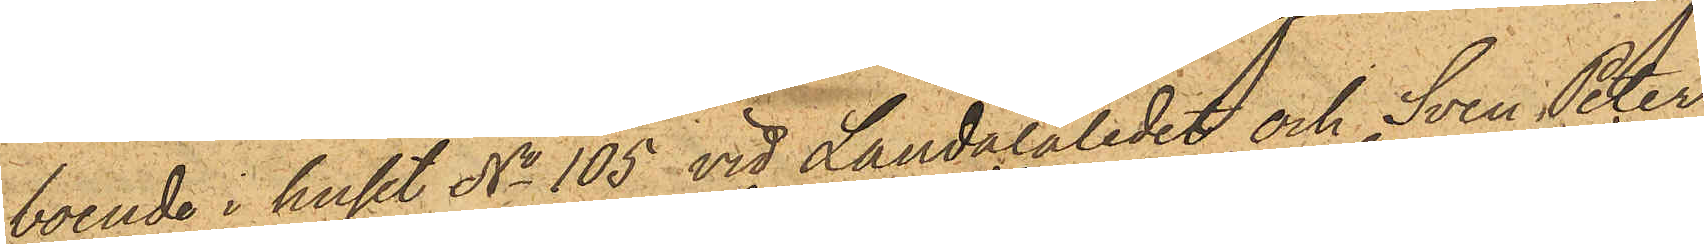boende i huset No 105 vid Landalaledet och Sven Peter
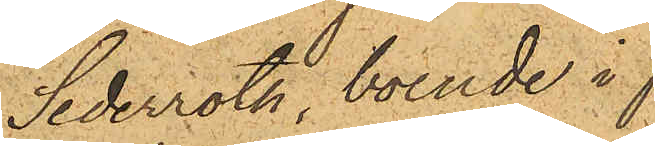Sederroth, boende i
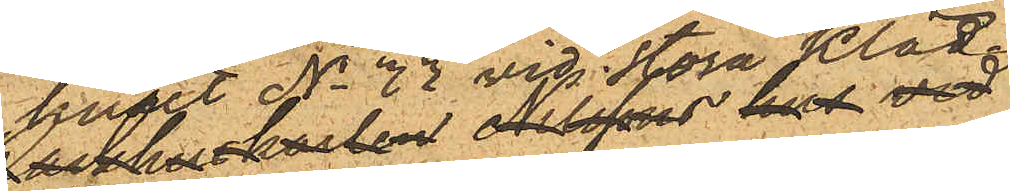huset No 77 vid Stora Kläd¬
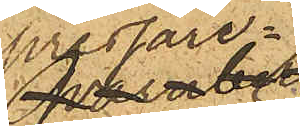pressare¬
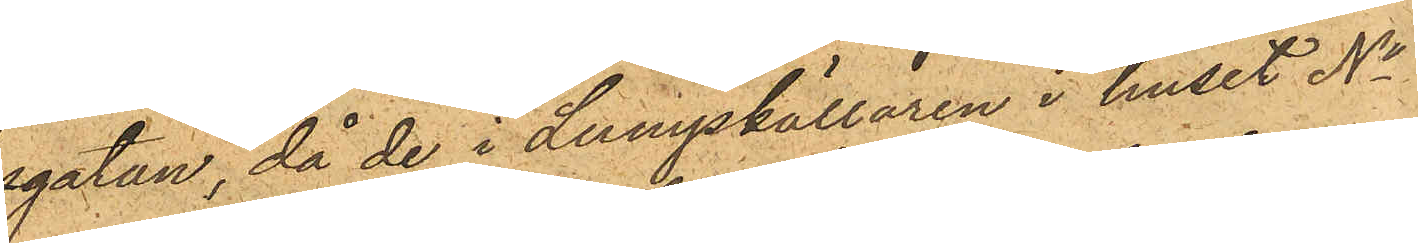gatan, då de i Lumpkällaren i huset No
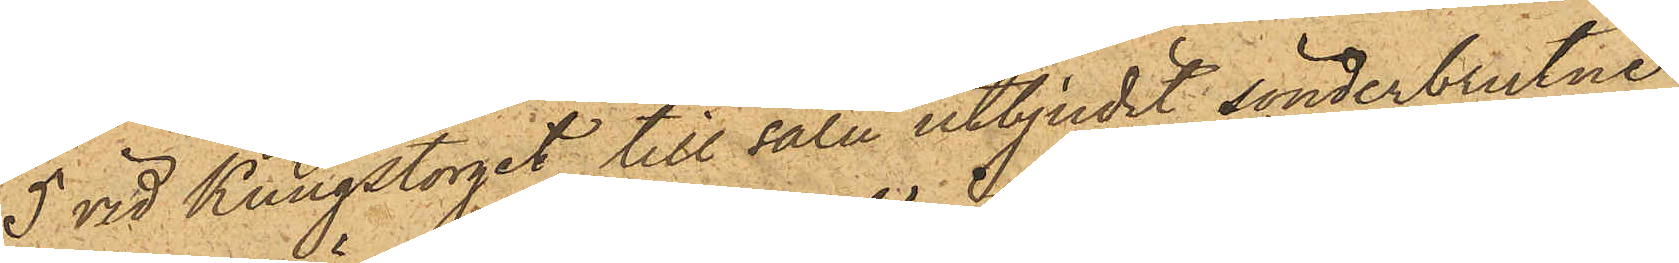5 vid Kungstorget till salu utbjudit sönderbrutne
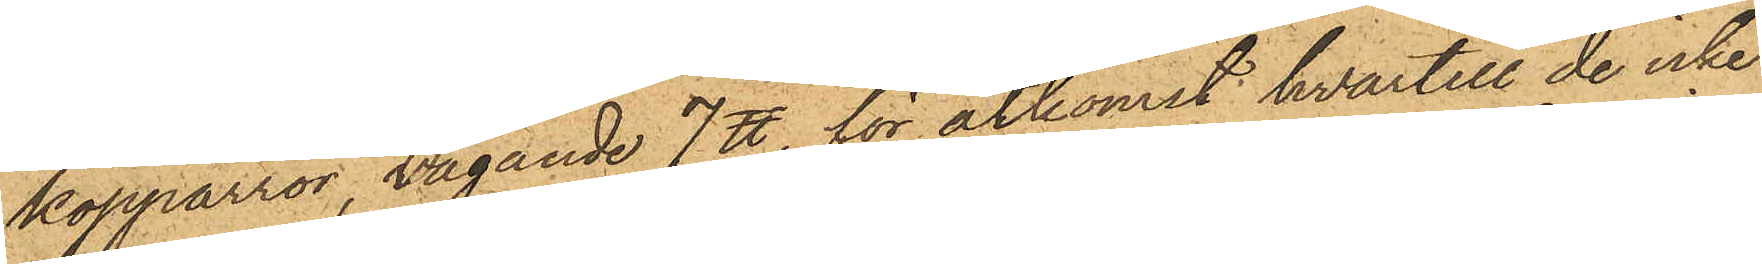kopparrör, vägande 7 ℔, för åtkomst hvartill de icke
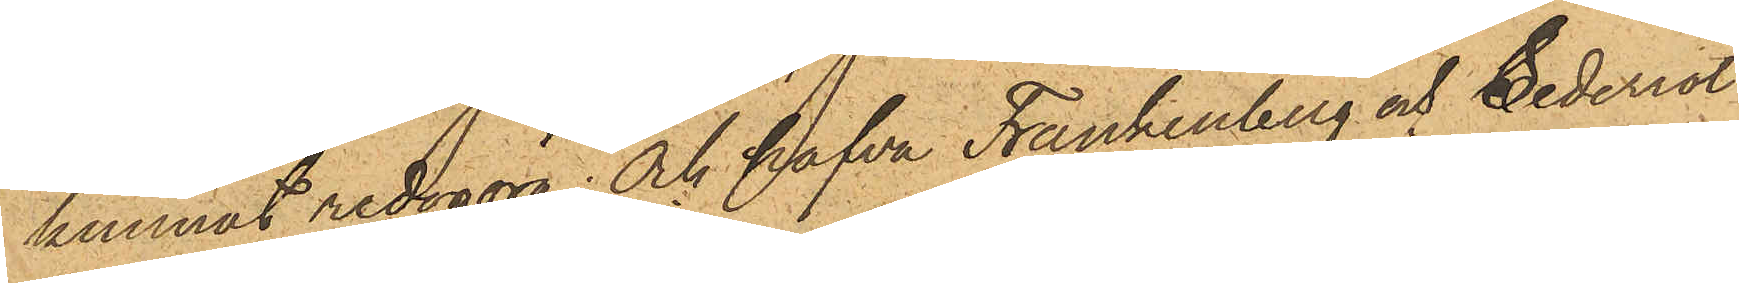kunnat redogöra; och hafva Frankenberg och Sederrot
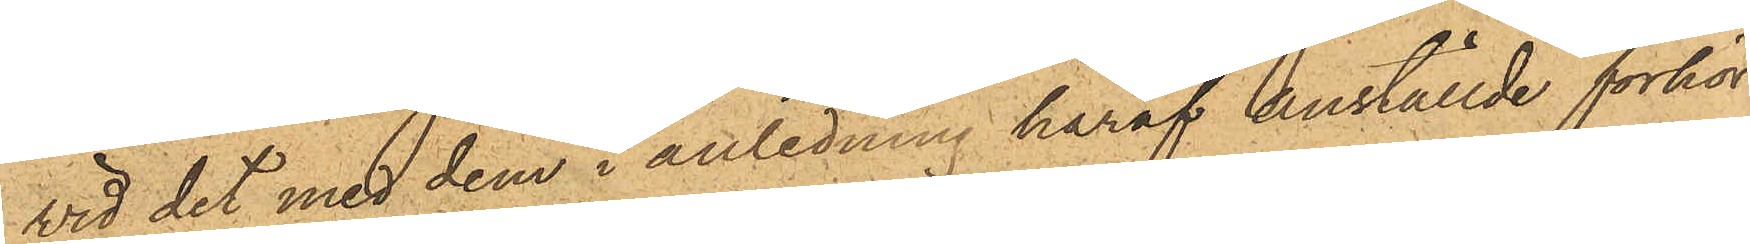vid det med dem i anledning häraf anställde förhör
